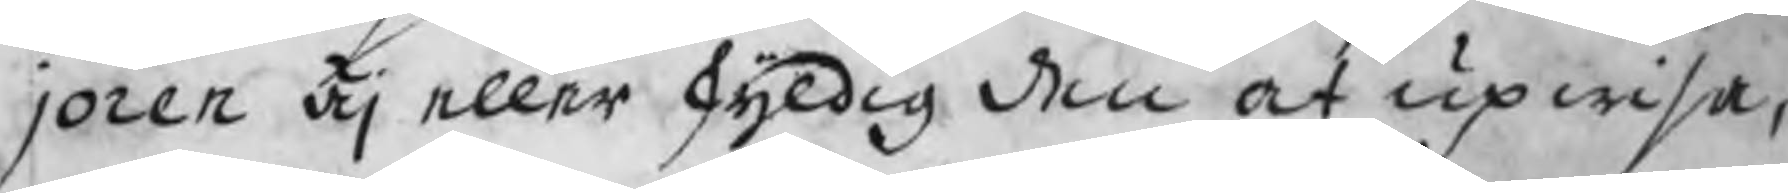joren äj eller skyldig den at upwisa,
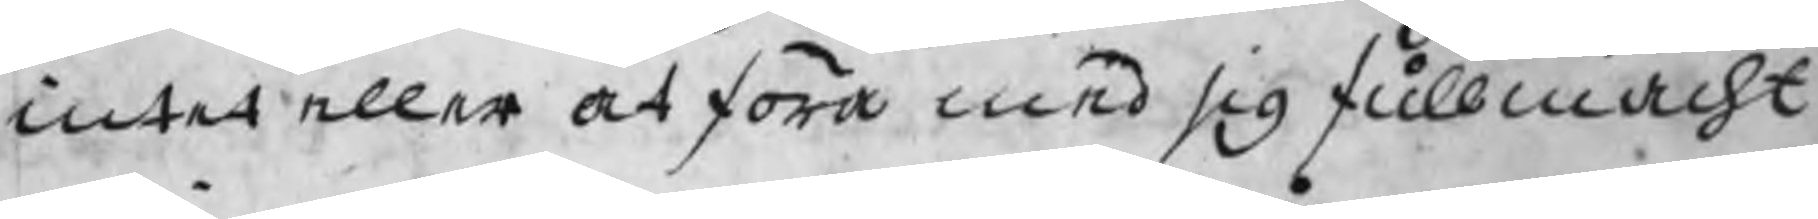intet eller at föra med sig fullmacht
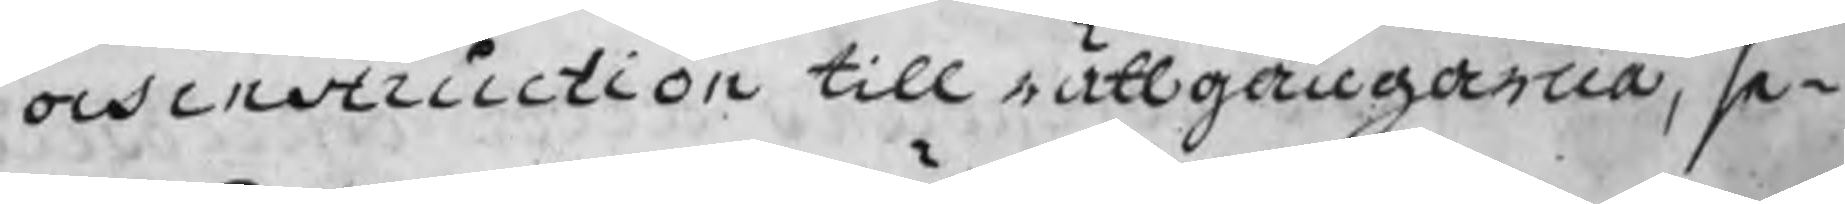och instruction till rättgångarna, se¬
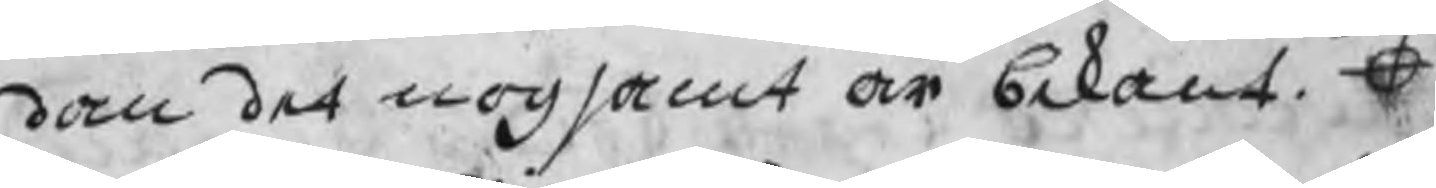dan det nogsamt är bekant. O
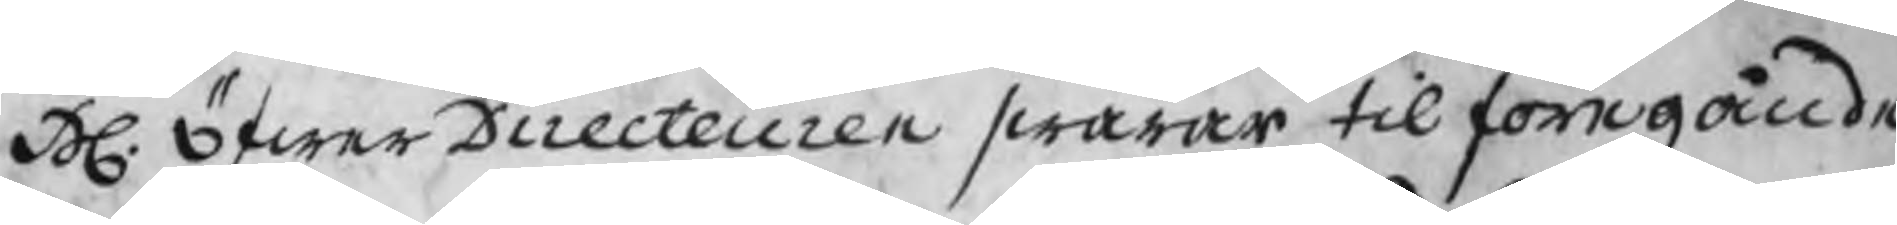H. ÖfwerDirecteuren swarar til föregående
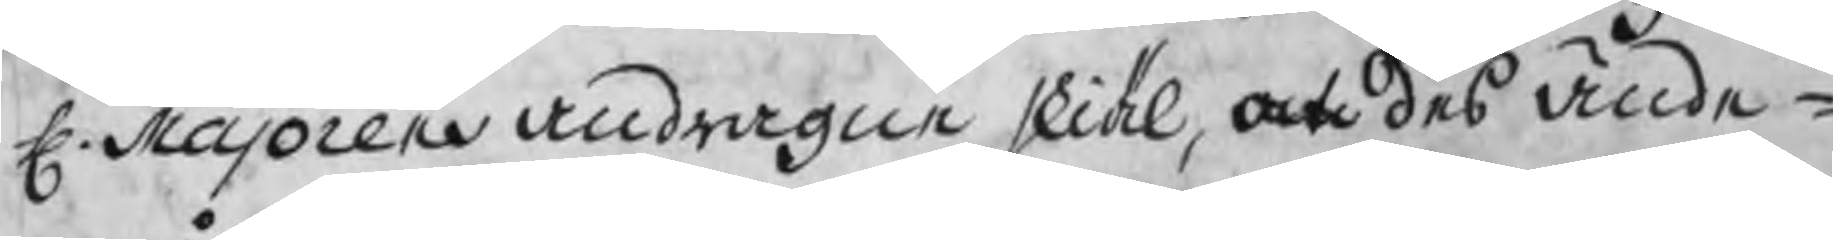H. Majoren andragne skiäl, at des ände¬
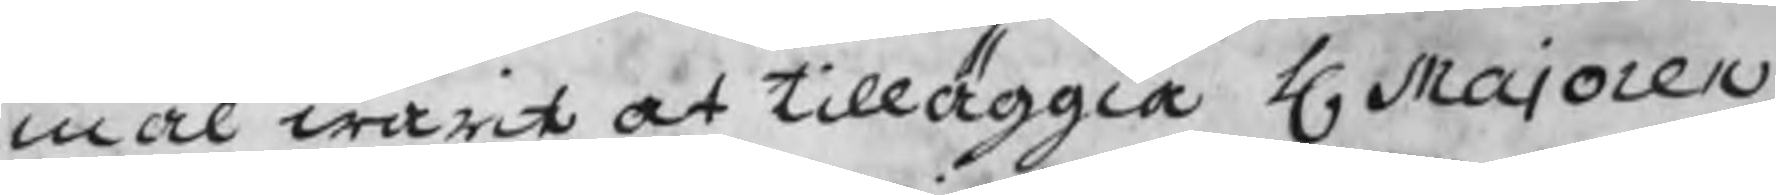mål warit at tilläggia H. Majoren
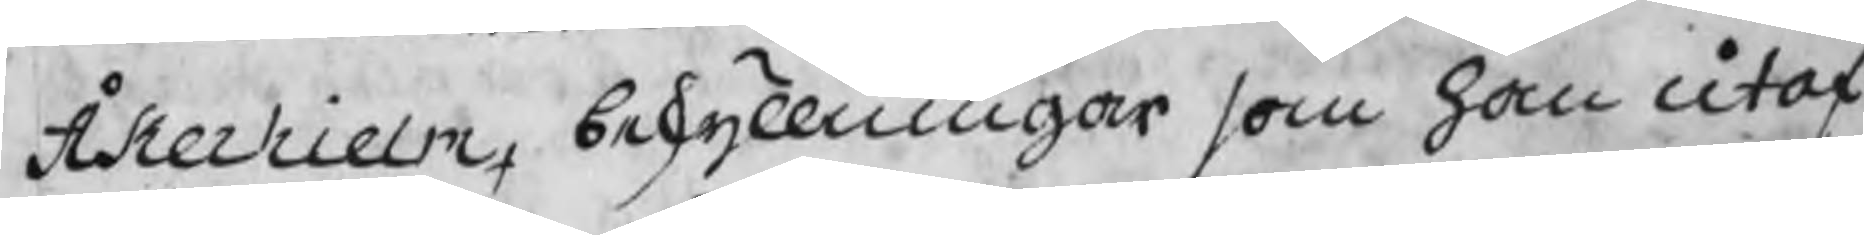Åkerhielm beskyllningar som han utaf
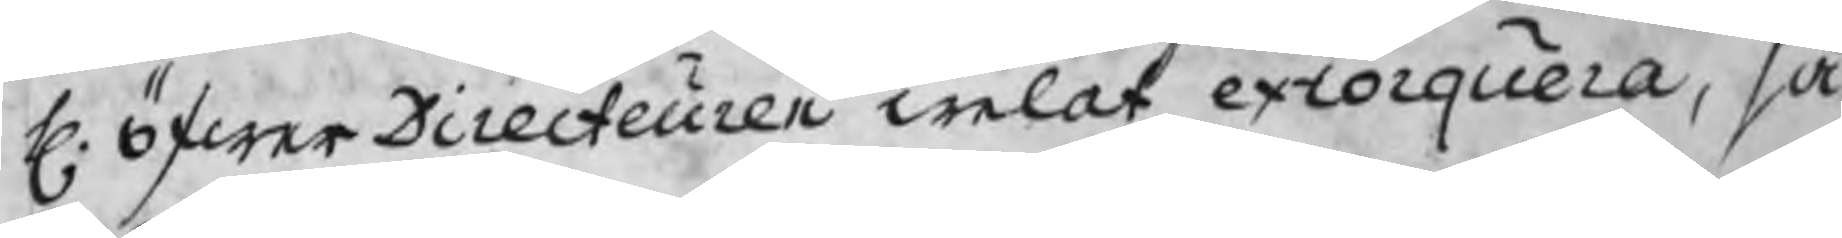H. öfwerDirecteuren welat extorquera, så
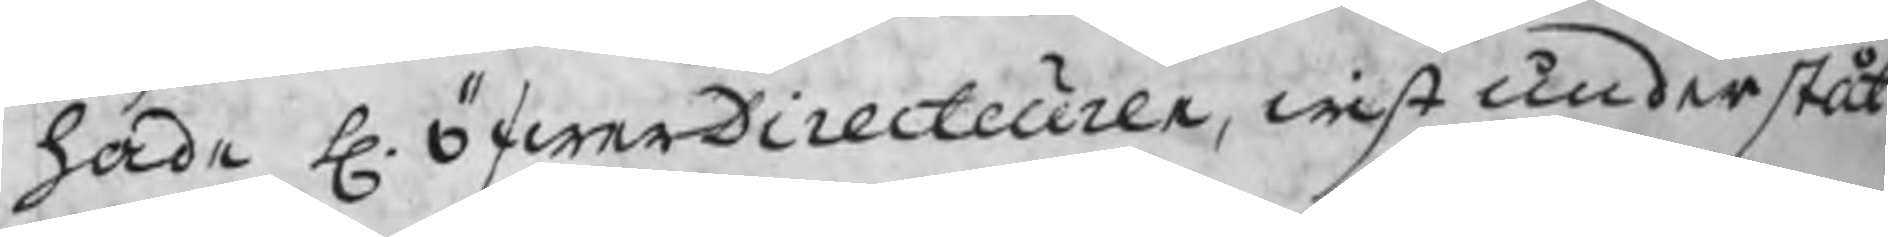hade H. öfwerDirecteuren, wist underståt
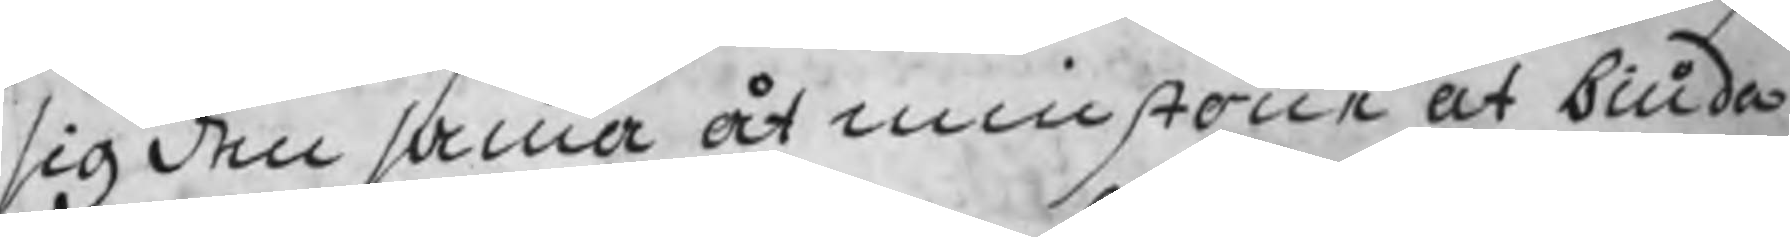sig den samma åtminstone at biuda
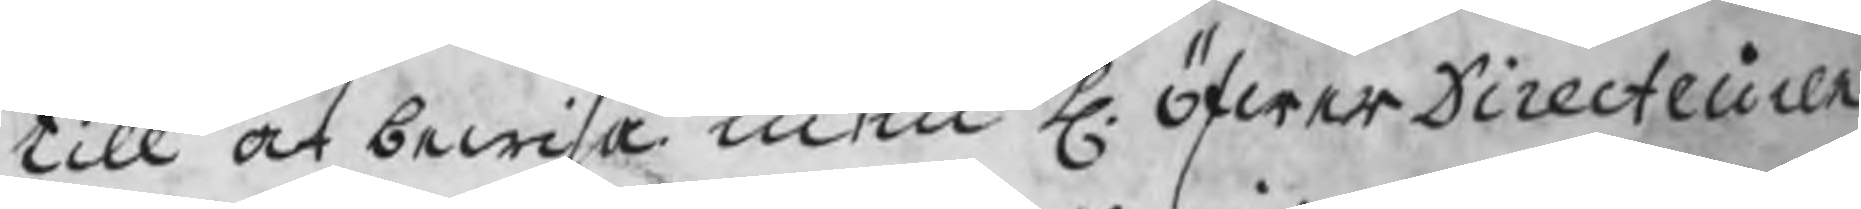till at bewisa men H. öfwerDirecteuren
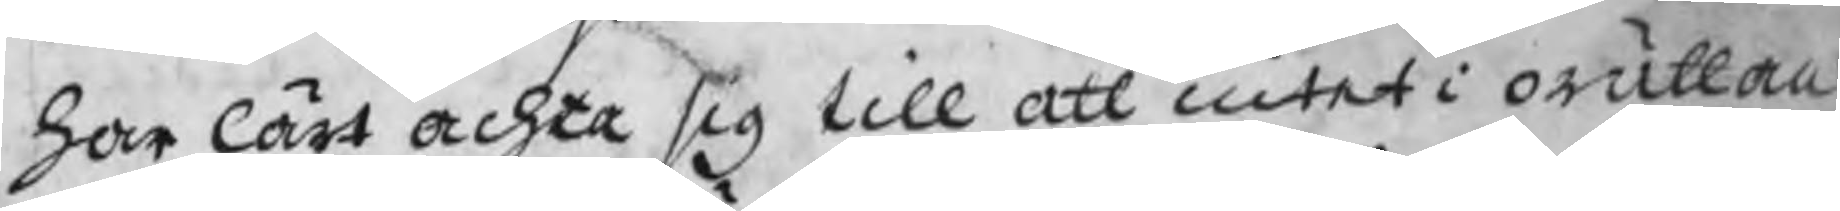har lärt achta sig till att intet i orättan
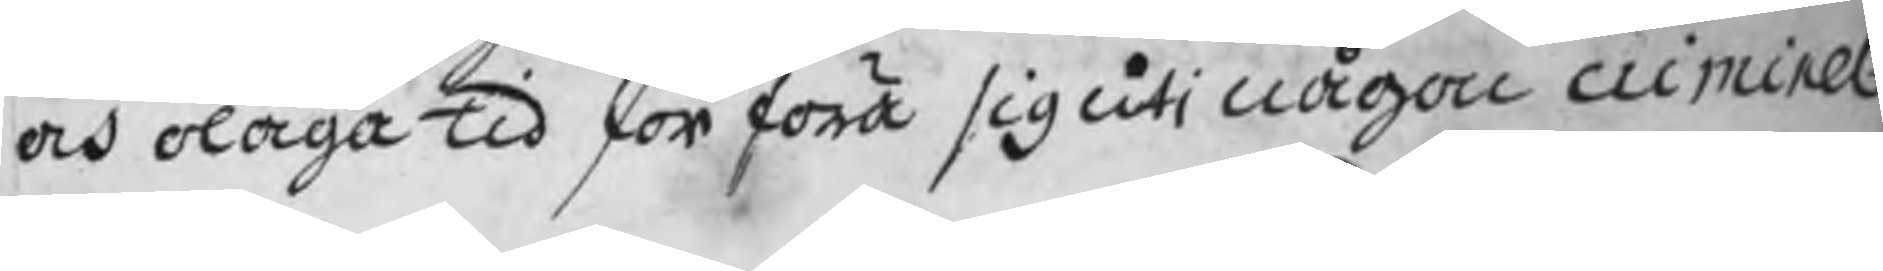och olaga tid förföra sig uti någon criminel
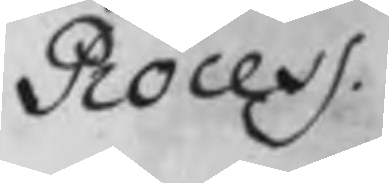Process.
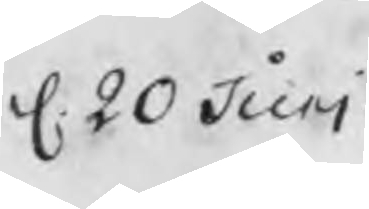d. 20 Juni
